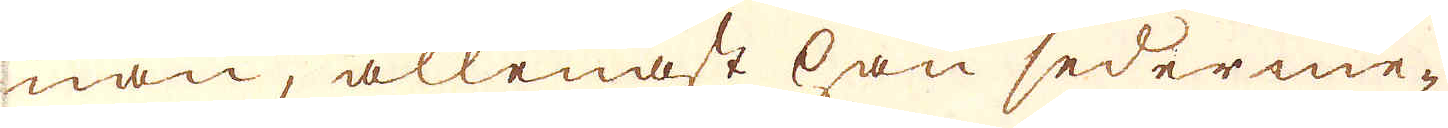nan, allenast han sederme-
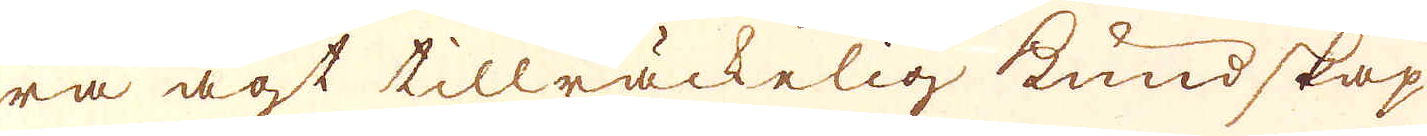ra ägt tillräckelig kundskap
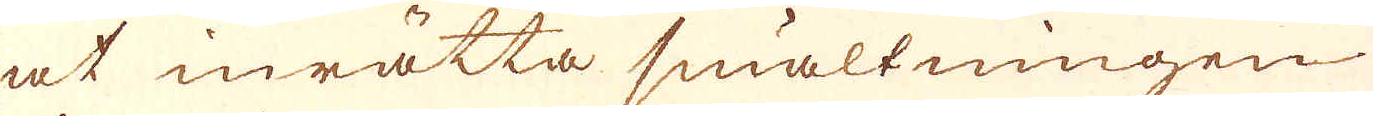at inrätta smältningen
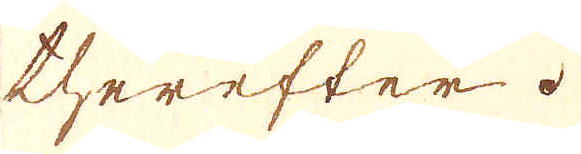therefter.
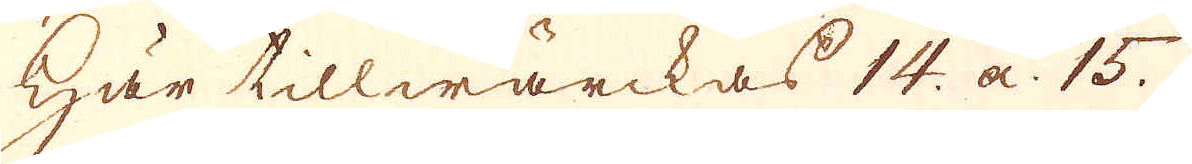Här tillwärckas 14 a 15
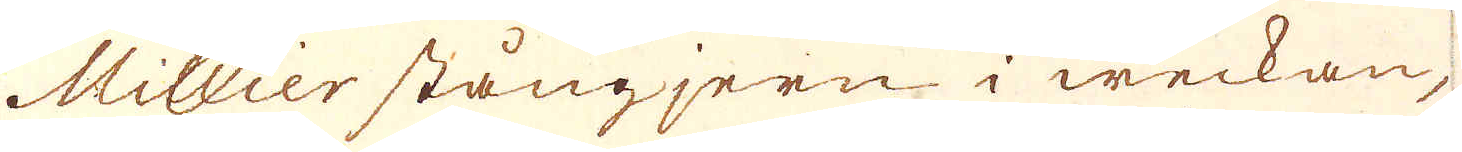Millier stångjern i weckan,
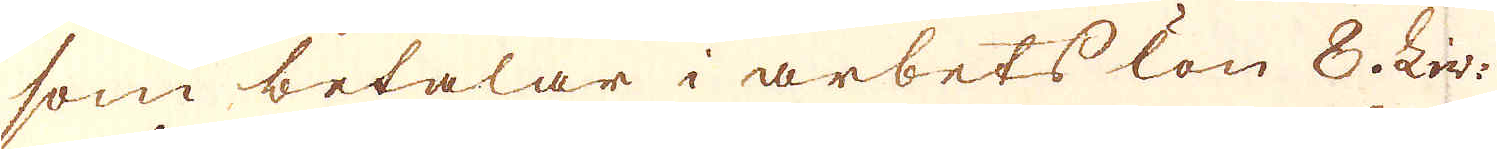som betalar i arbets lön 8 Liv:
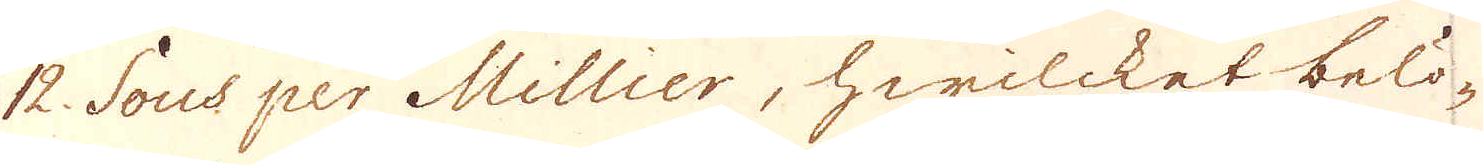12 Sous per Millier, hwilcket belö-
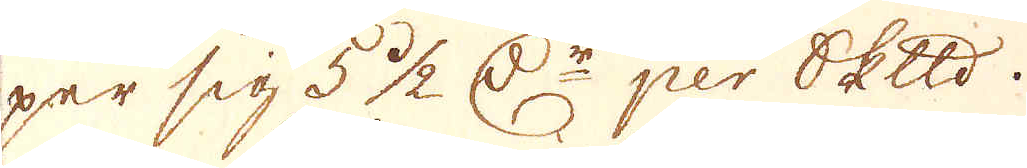per sig 5 1/2 r:Dr per skeppund.
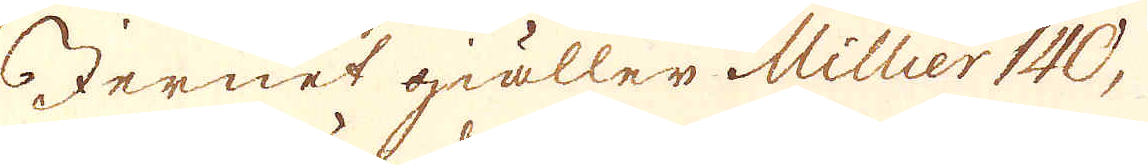Jernet giäller Millier 140,
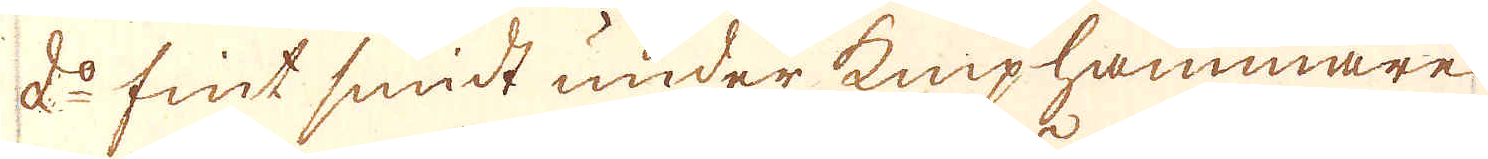d:o fint smidt under kniphammare
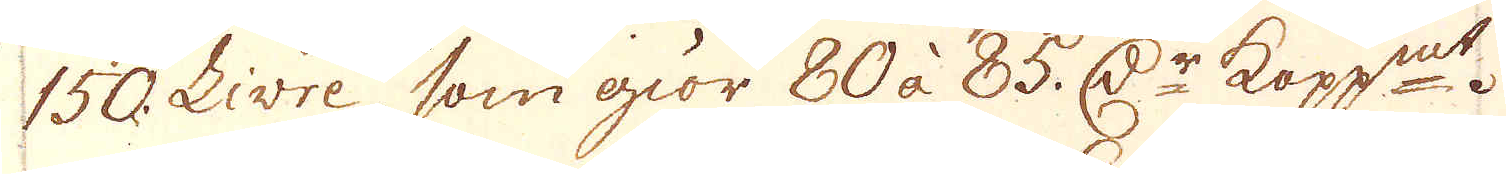150 Livre, som giör 80 à 85 D:r kopp:mt.
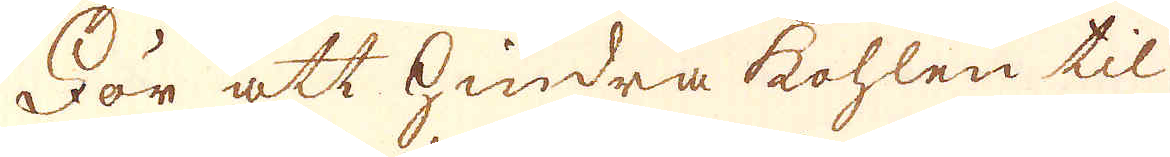För att hindra kohlen til
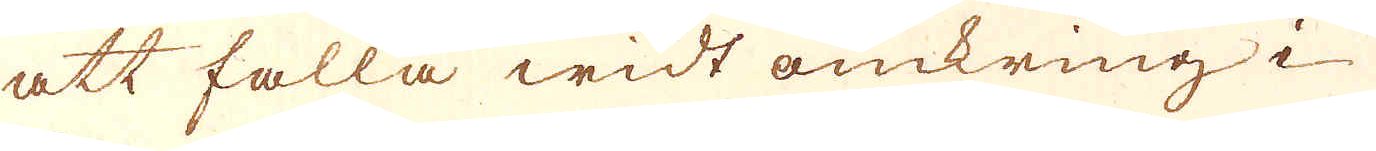att falla widt omkring i
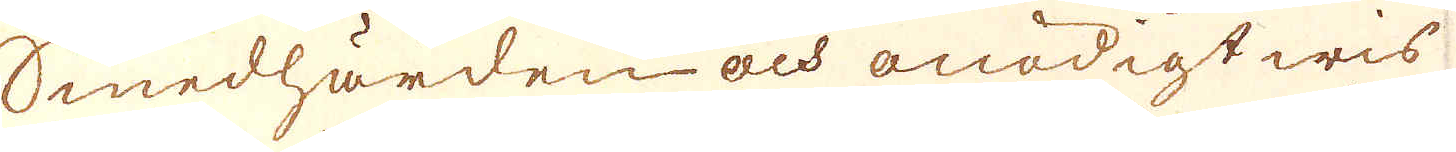Smedhärden och onödigt wis
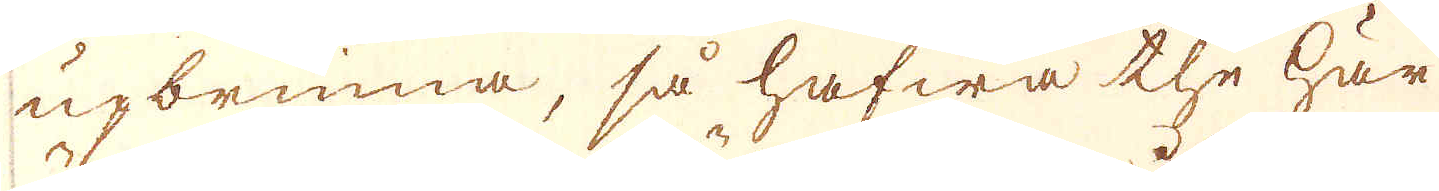upbrinna, så hafwa the här
